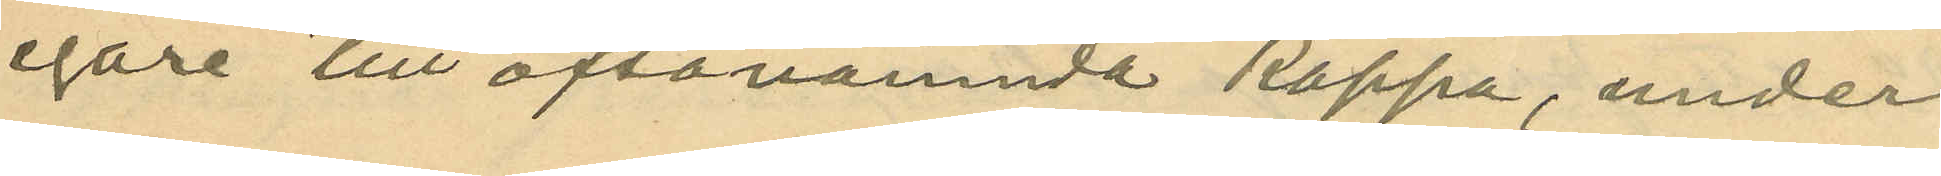egare till oftanämnda kappa, under
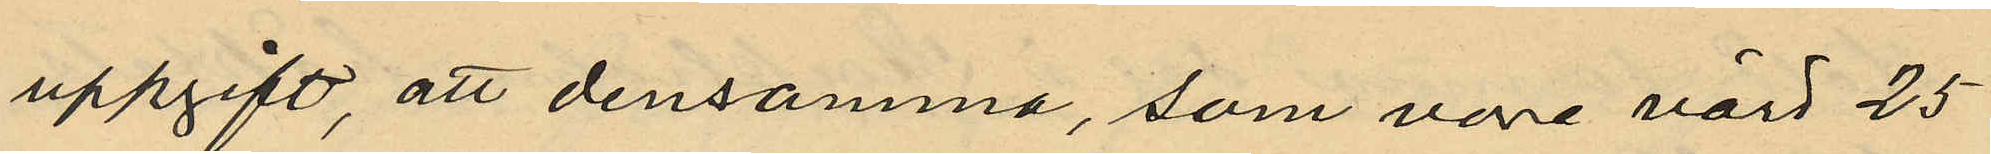uppgift, att densamma, som vore värd 25
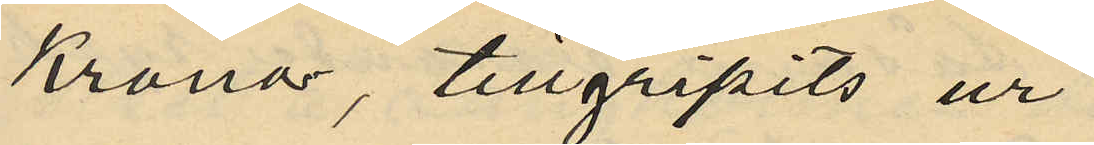Kronor, tillgripits ur
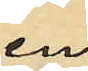en
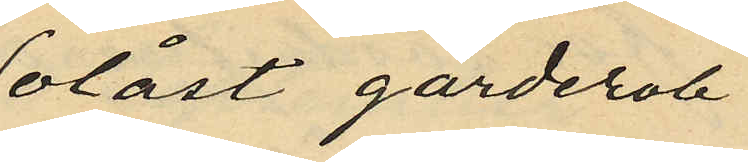olåst garderob
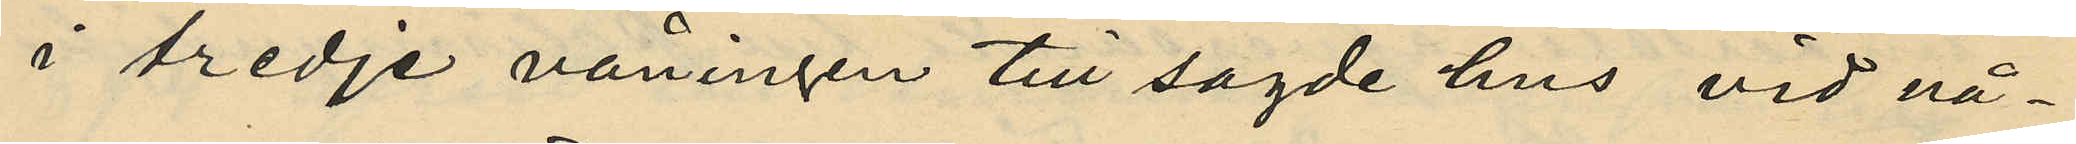i tredje våningen till sagde hus vid nå¬
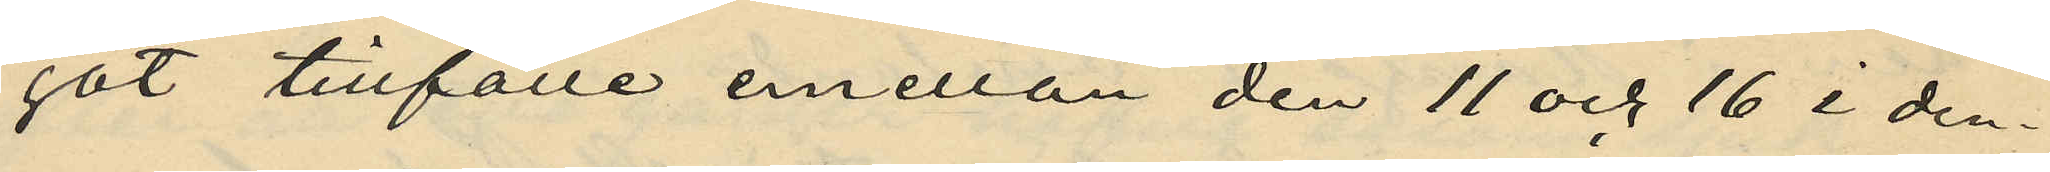got tillfälle emellan den 11 och 16 i den¬
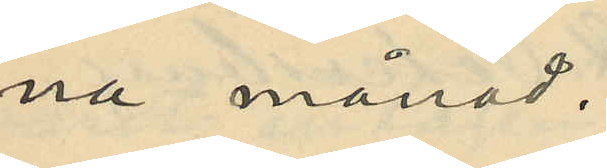na månad.
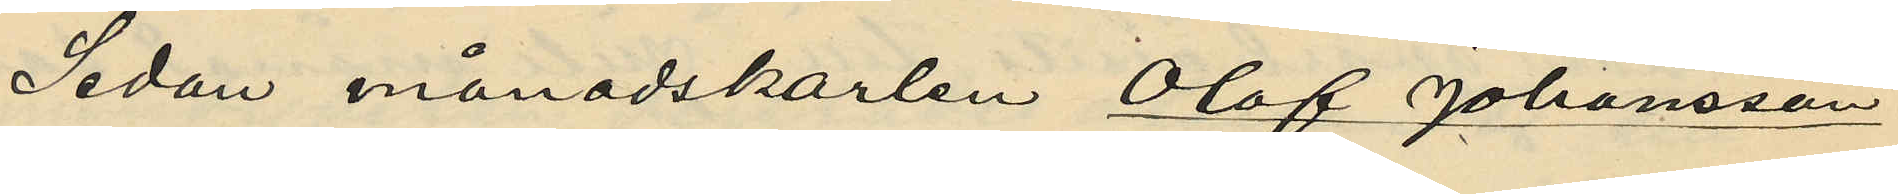Sedan månadskarlen Olof Johansson
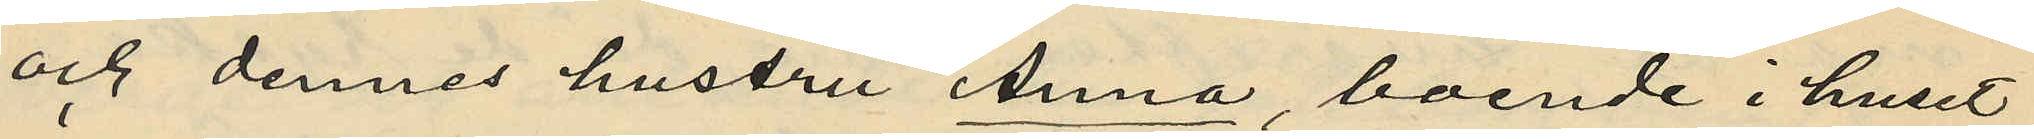och dennes hustru Anna, boende i huset
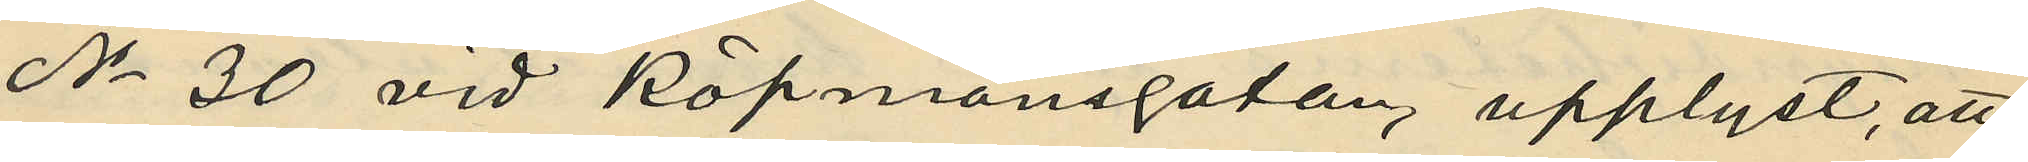No 30 vid Köpmansgatan, upplyst, att
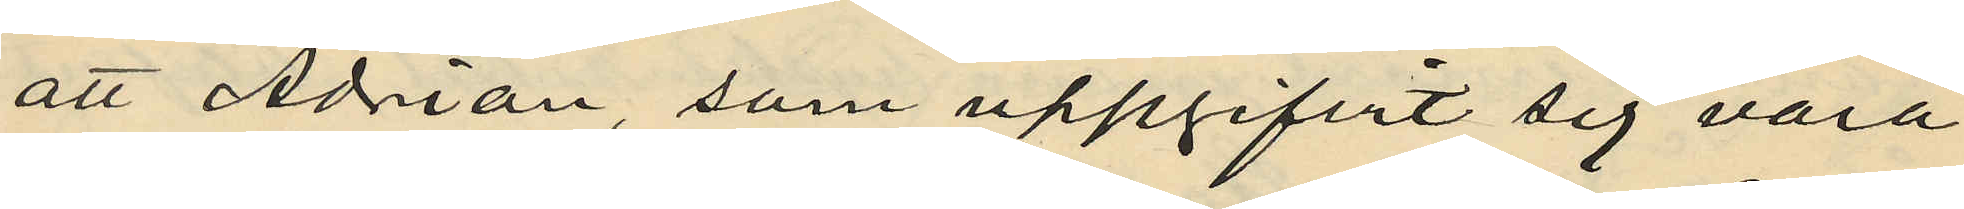att Adrian, som uppgifvit sig vara
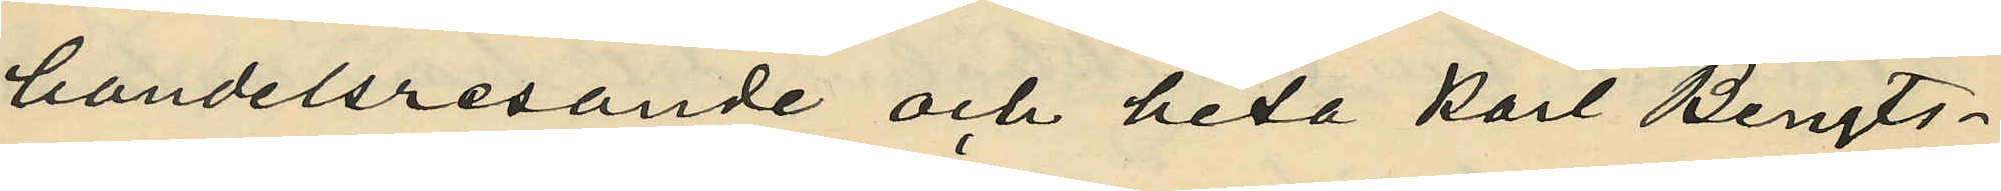handelsresande och heta Karl Bengts¬
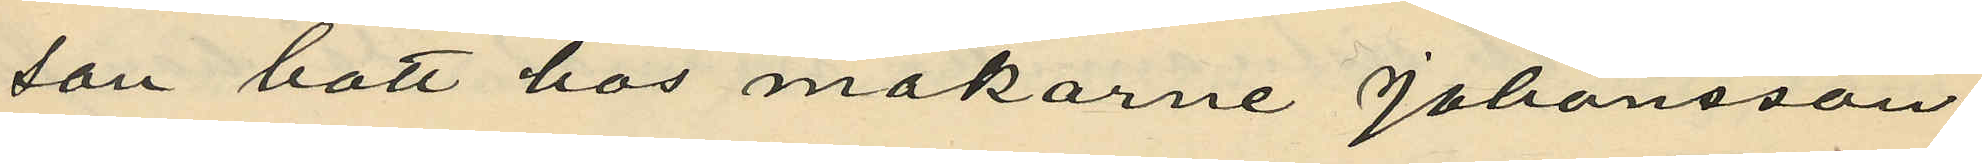son bott hos makarne Johansson
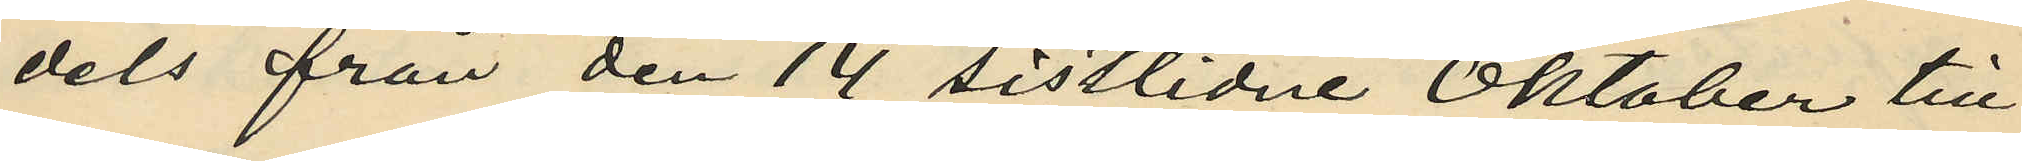dels från den 14 sistlidne Oktober till
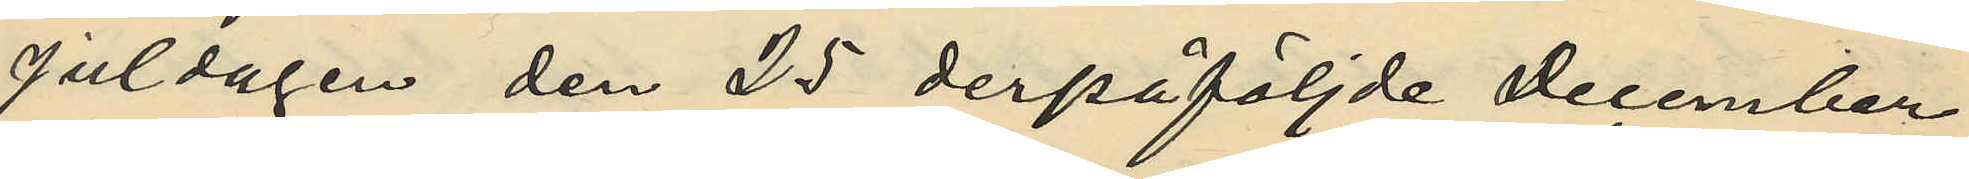Juldagen den 25 derpåföljde December
